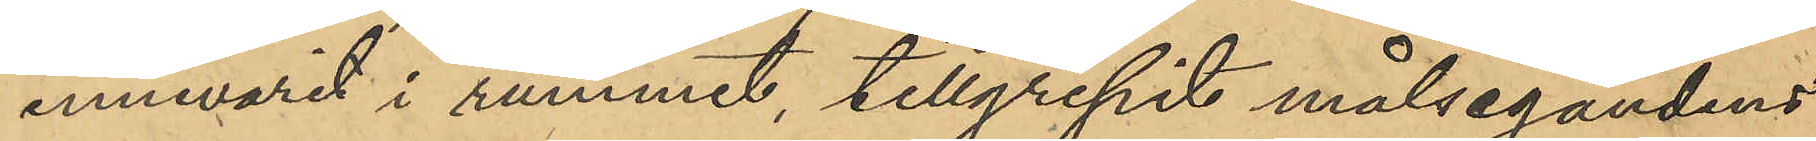innevarit i rummet, tillgripit målsegandens
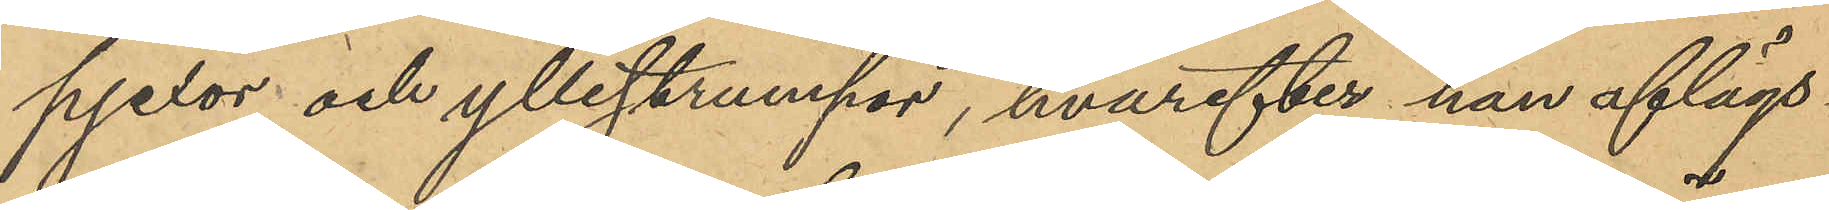pjexor och yllestrumpor, hvarefter han aflägs¬
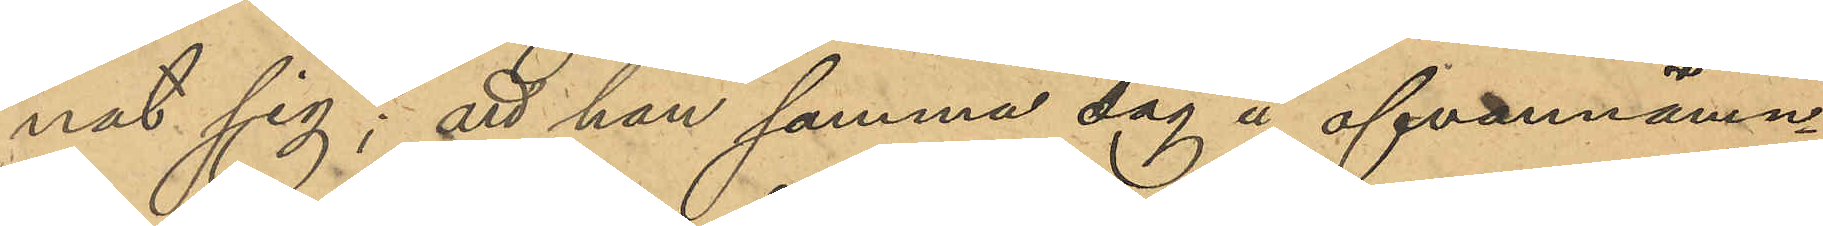nat sig; att han samma dag å ofvannämn¬
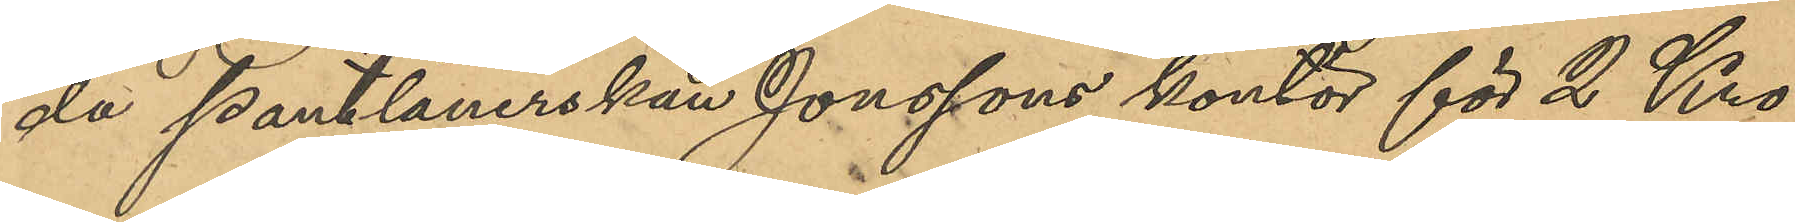da pantlånerskan Jonssons kontor för 2 Kro¬
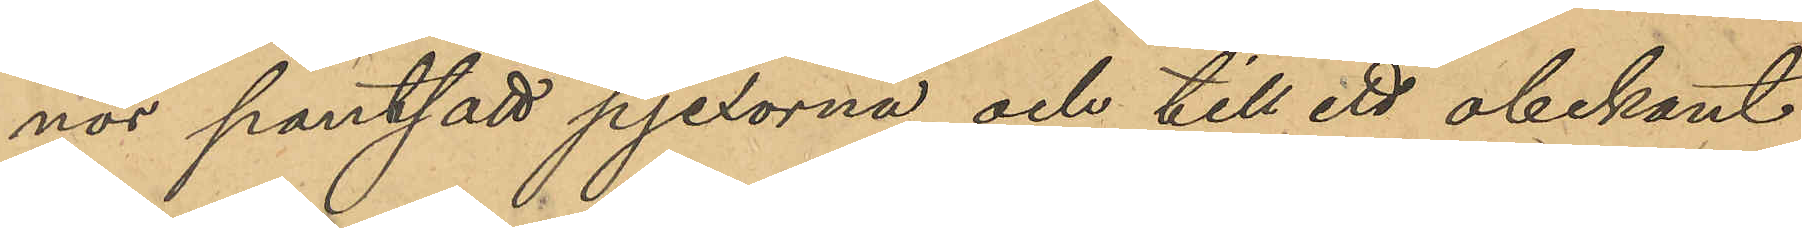nor pantsatt pjexorna och till ett obekant
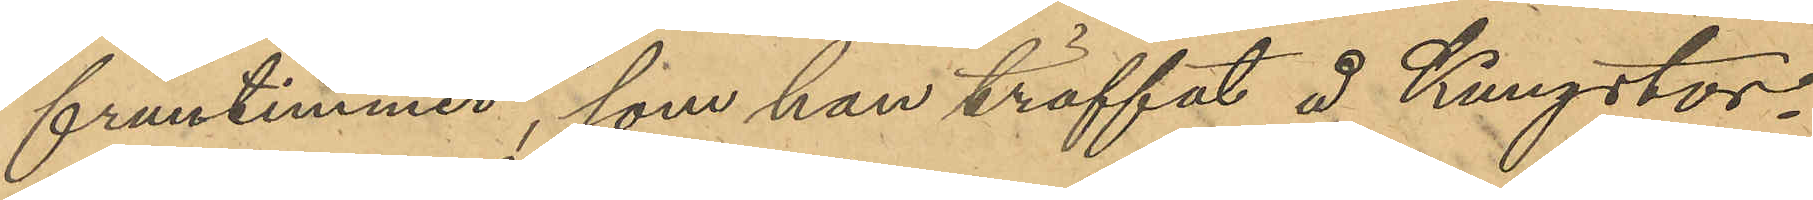fruntimmer, som han träffat å Kungstor¬
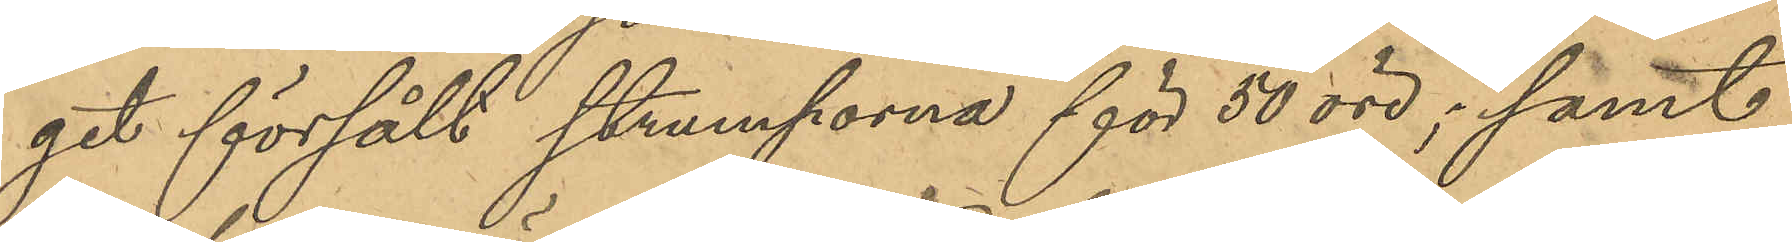get försålt strumporna för 50 öre; samt 
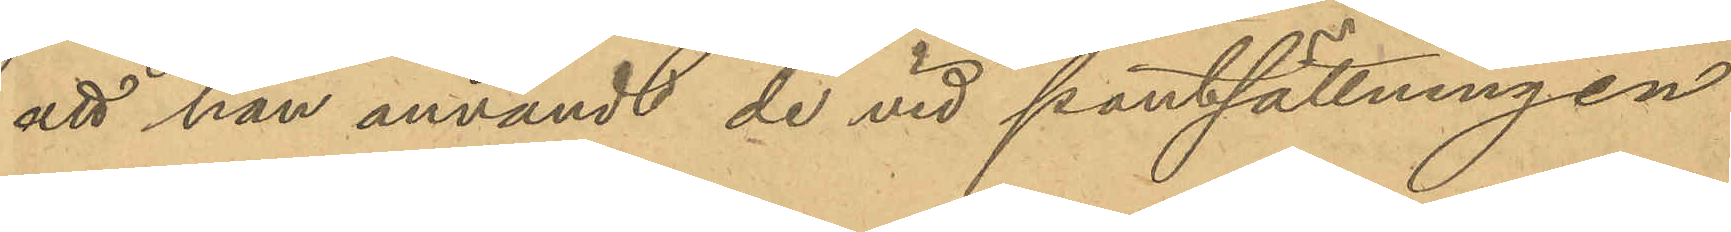att han användt de vid pantsättningen
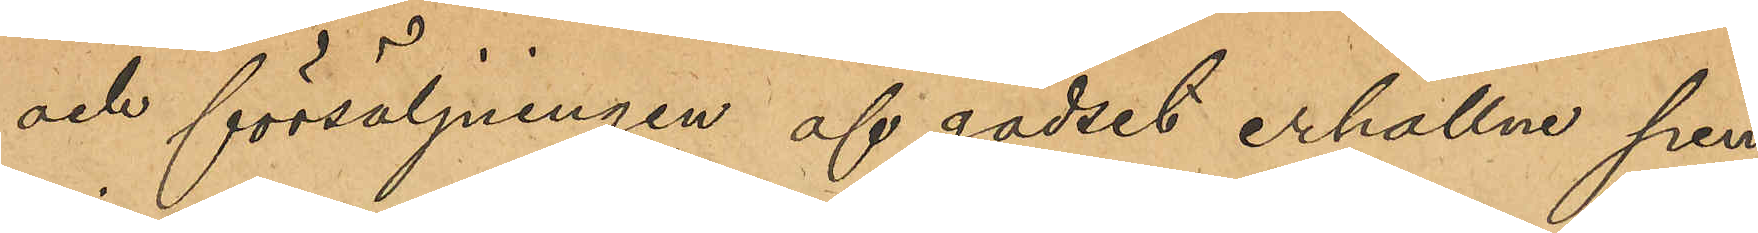och försäljningen af godset erhållne pen¬
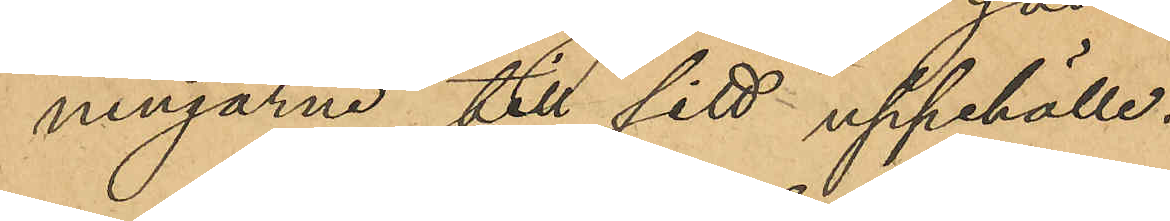ningarne till sitt uppehälle.
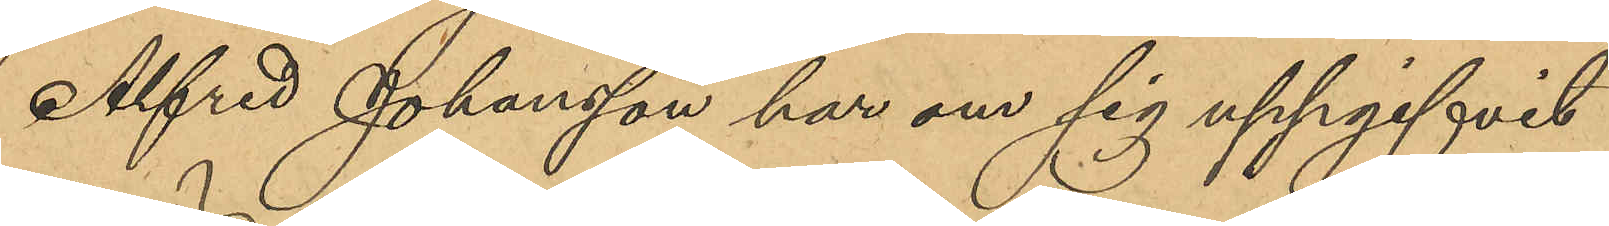Alfred Johansson har om sig uppgifvit
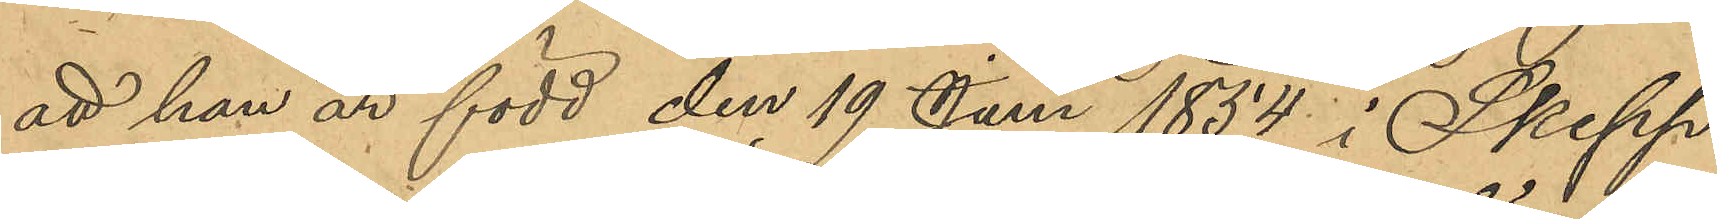att han är född den 19 Juni 1854 i Skepp¬
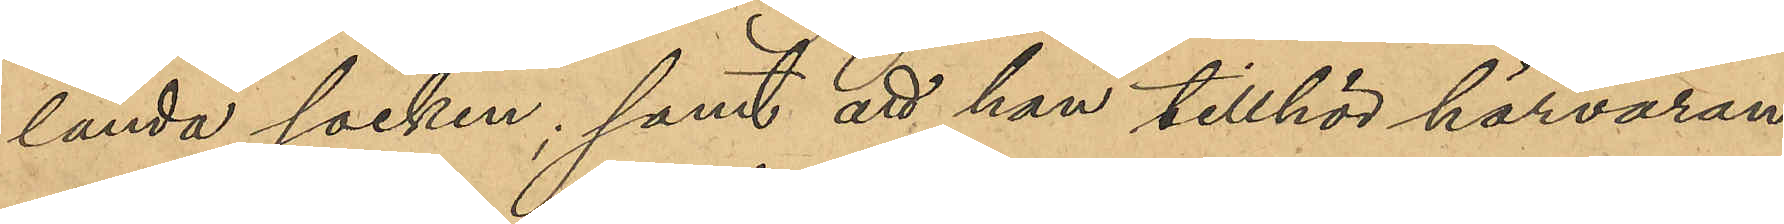landa socken, samt att han tillhör härvaran¬
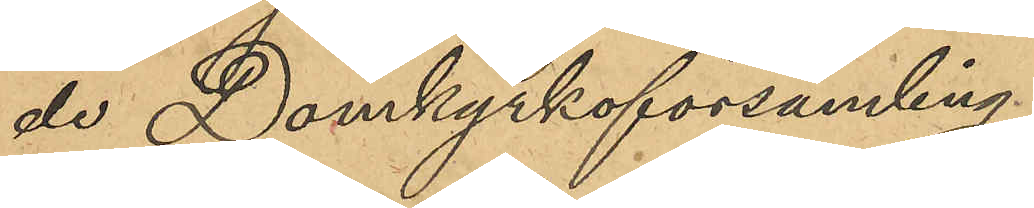de Domkyrkoförsamling.
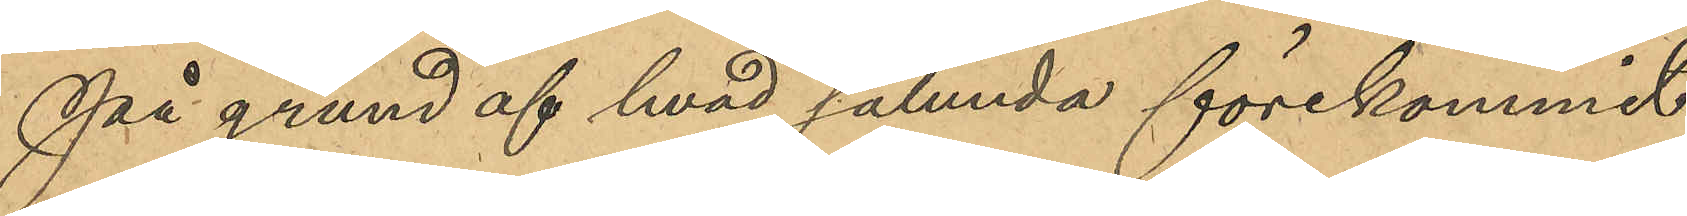På grund af hvad sålunda förekommit
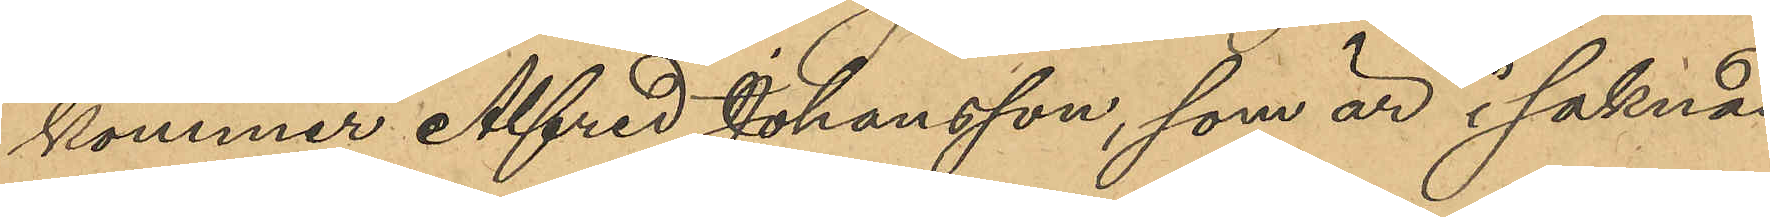kommer Alfred Johansson, som är i saknad
